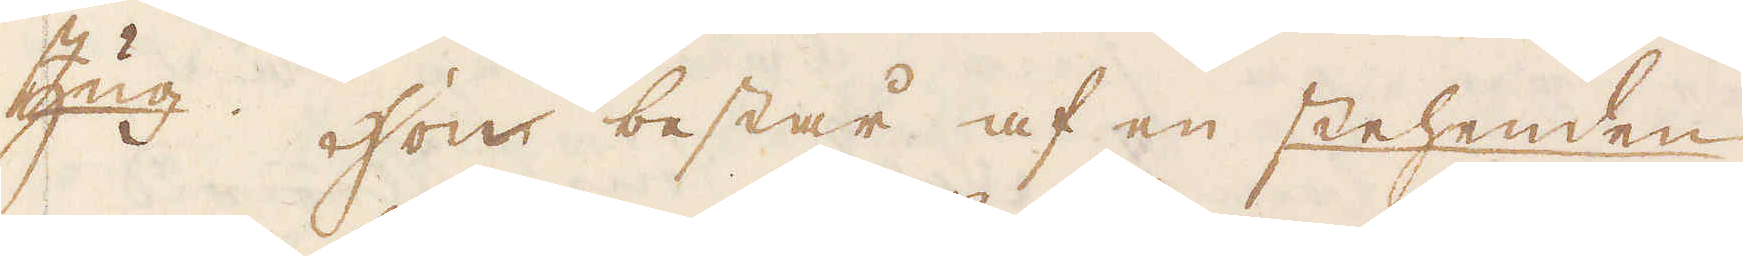Zug. Hon består af en stehenden
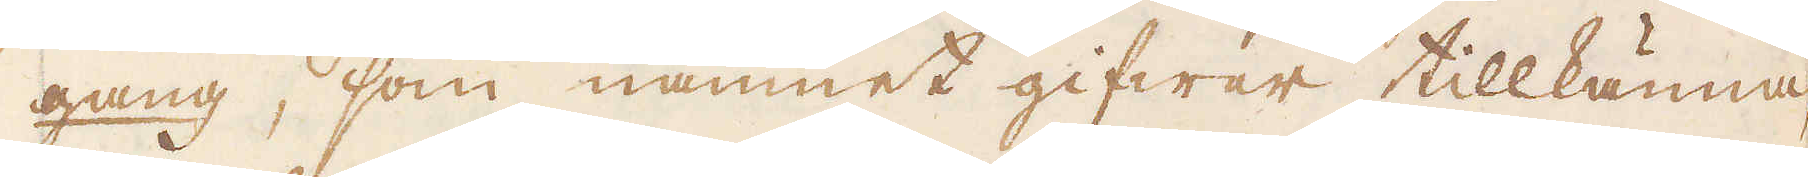gang, som namnet gifwar tillkänna
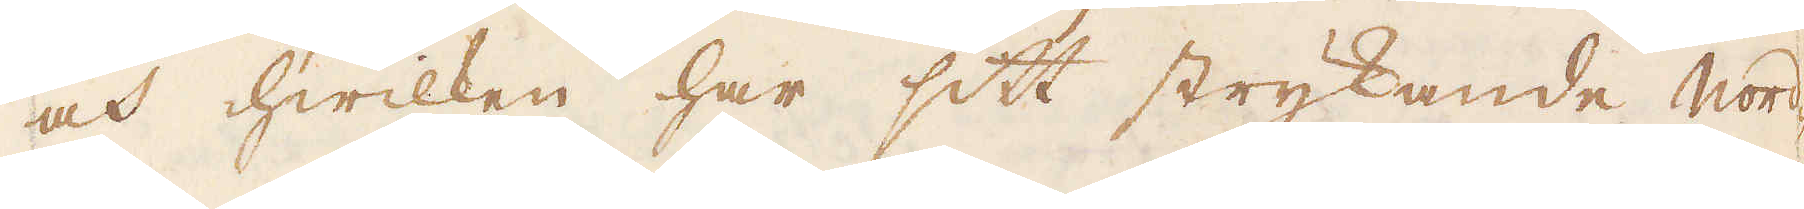och hwilken har sitt strykande Nord-
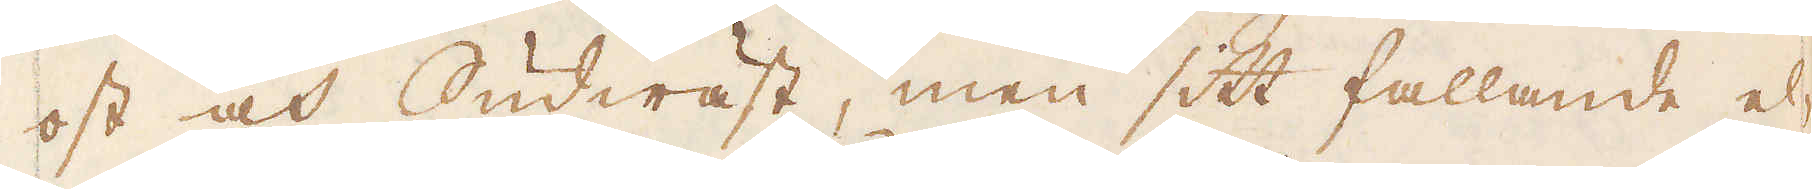ost och Sudwäst, men sitt fallande el-
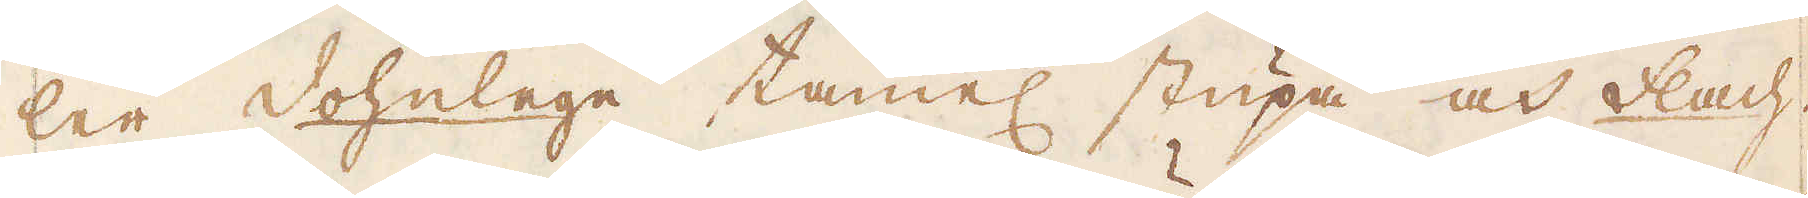ler dohnlege tämmel stupa och Flach.
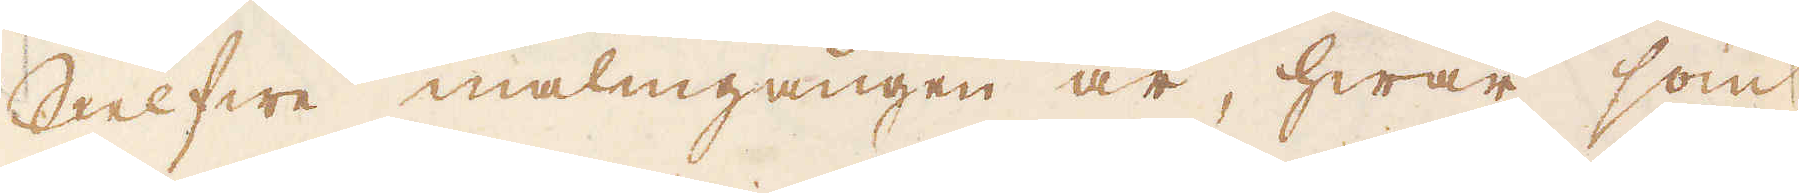Slelfwe malmgången är, hwar som
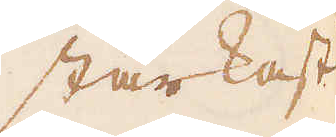starkast
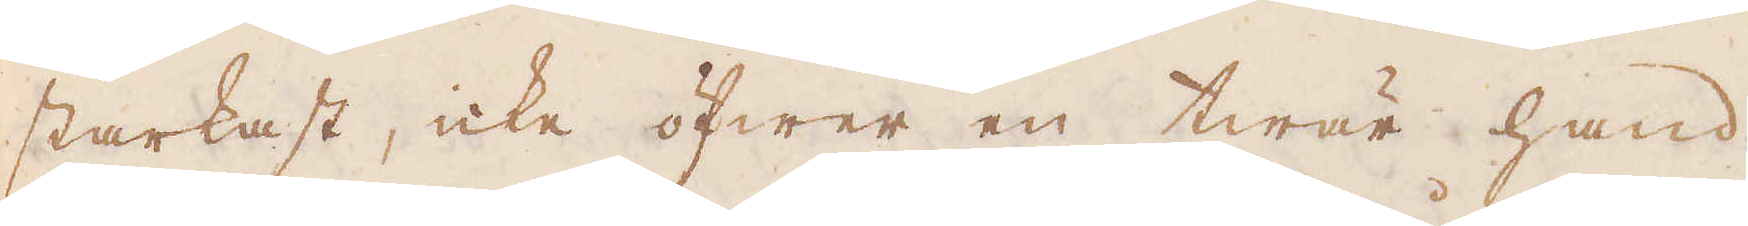starkast, icke öfwer en twär hand
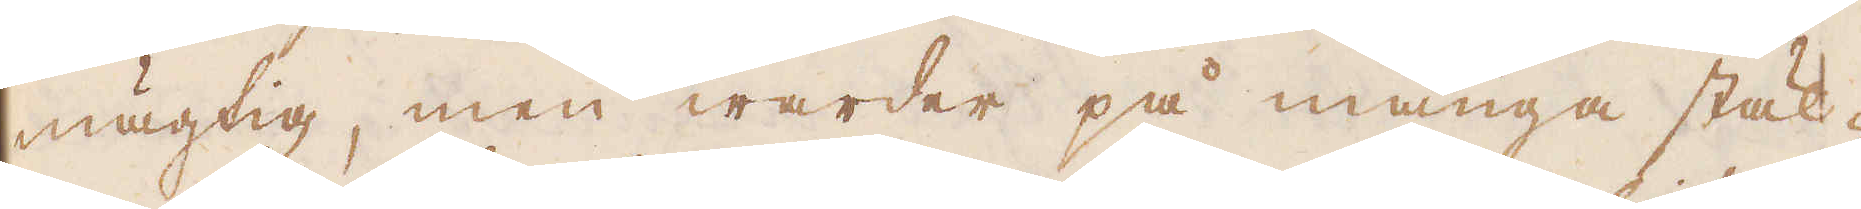mägtig, men warder på många stäl-
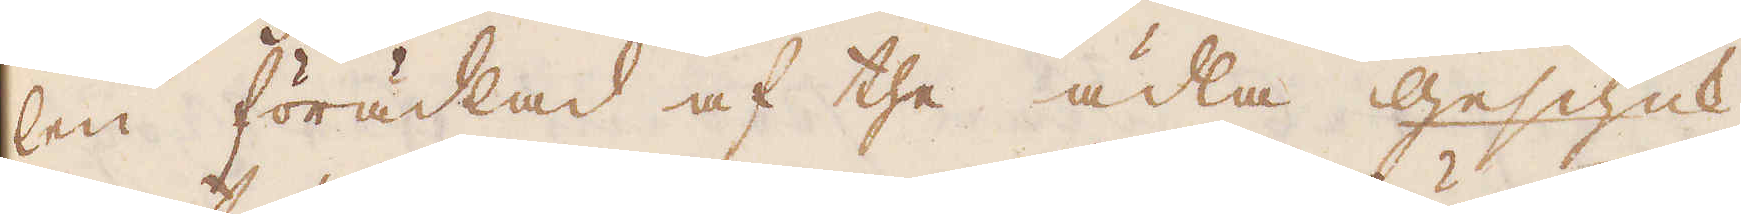len förädlad af the ädla Geschick
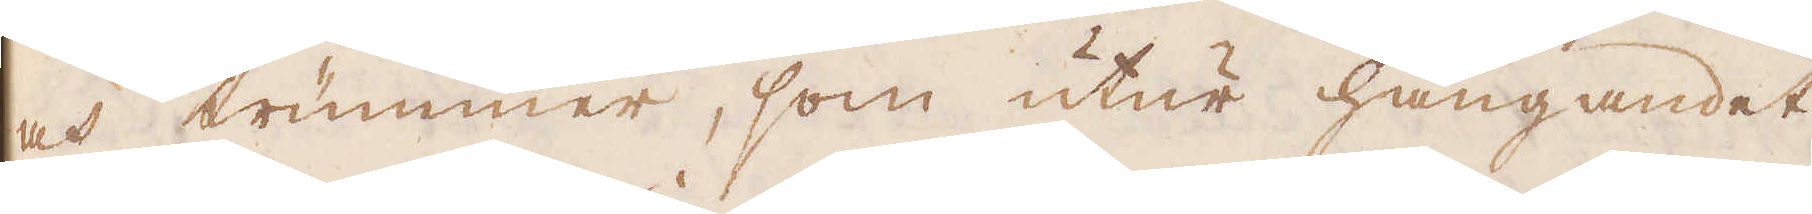och trummer, som utur hängandet
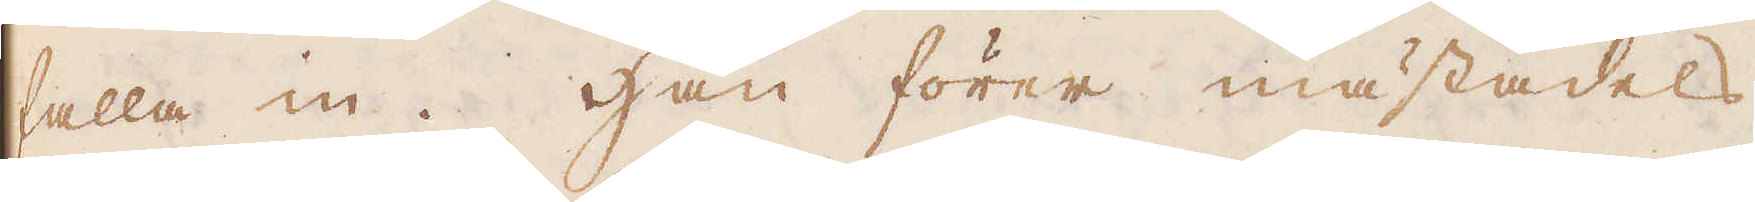falla in. Han förer mästadels
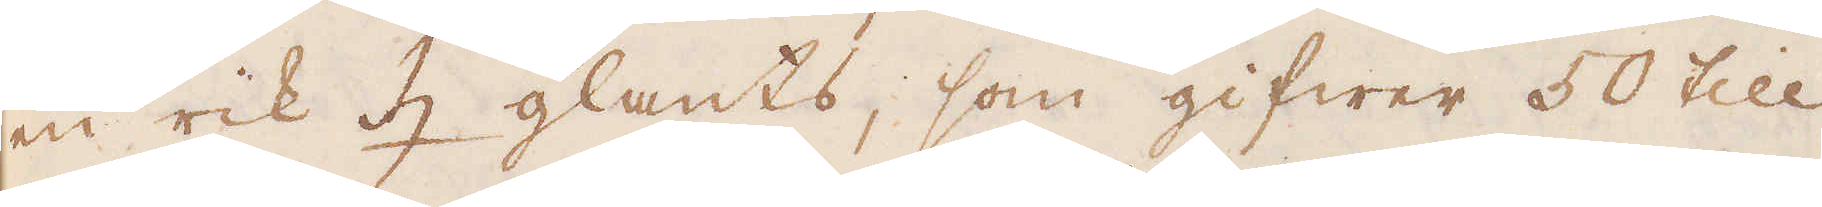en rik ♄ glants, som gifwer 50 till
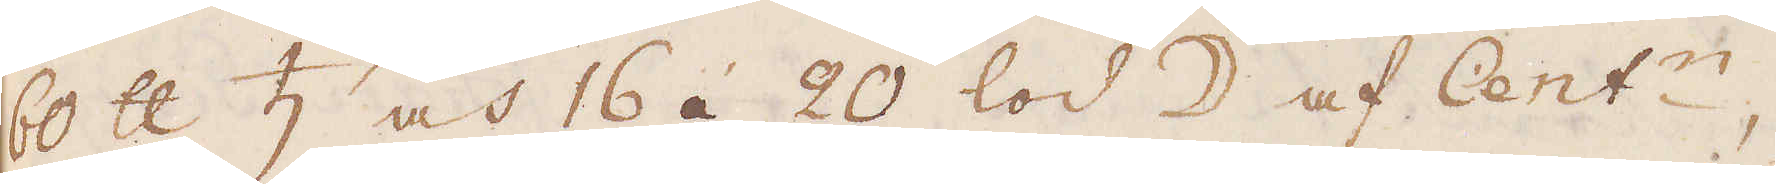60 skålpund ♄ och 16 á 20 lod ☽ af Cent:n,
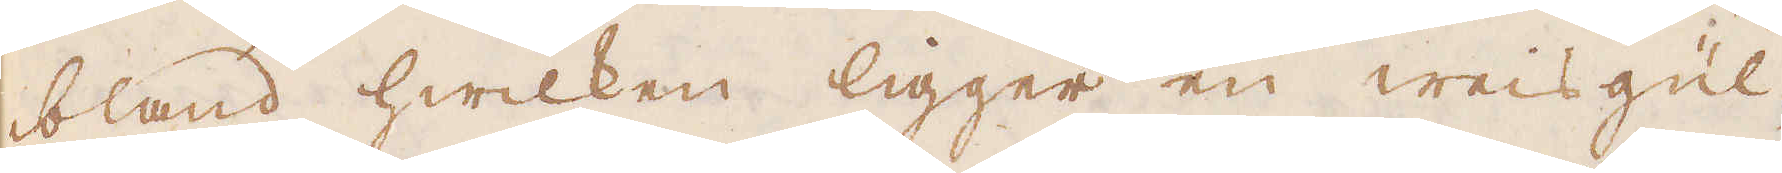bland hwilken ligger en weisgul-
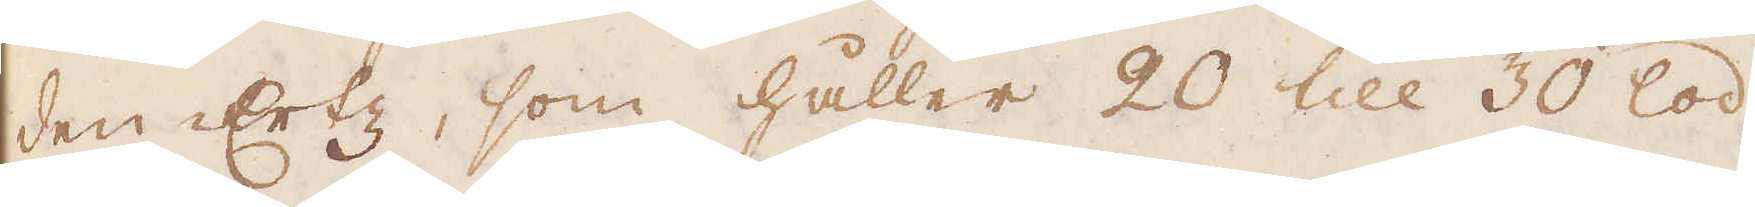den Ertz, som håller 20 till 30 lod
